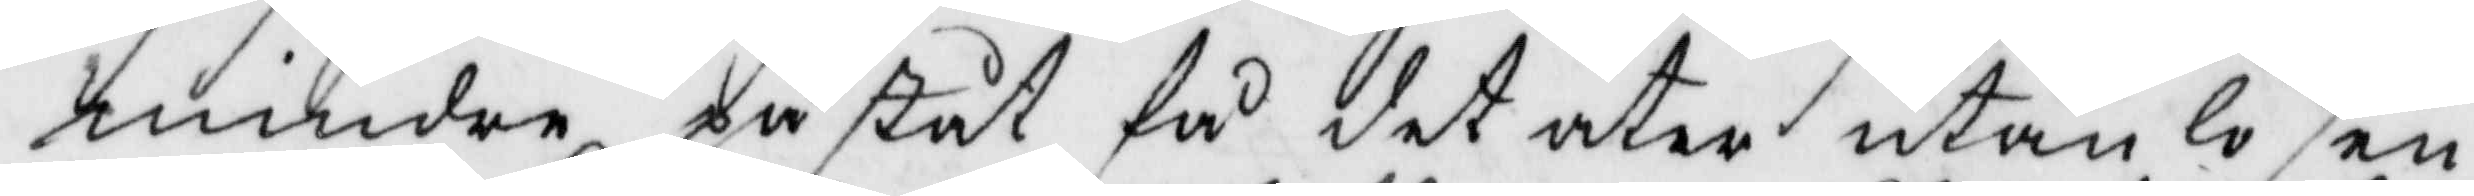mindre påståt få det åter utan lösen
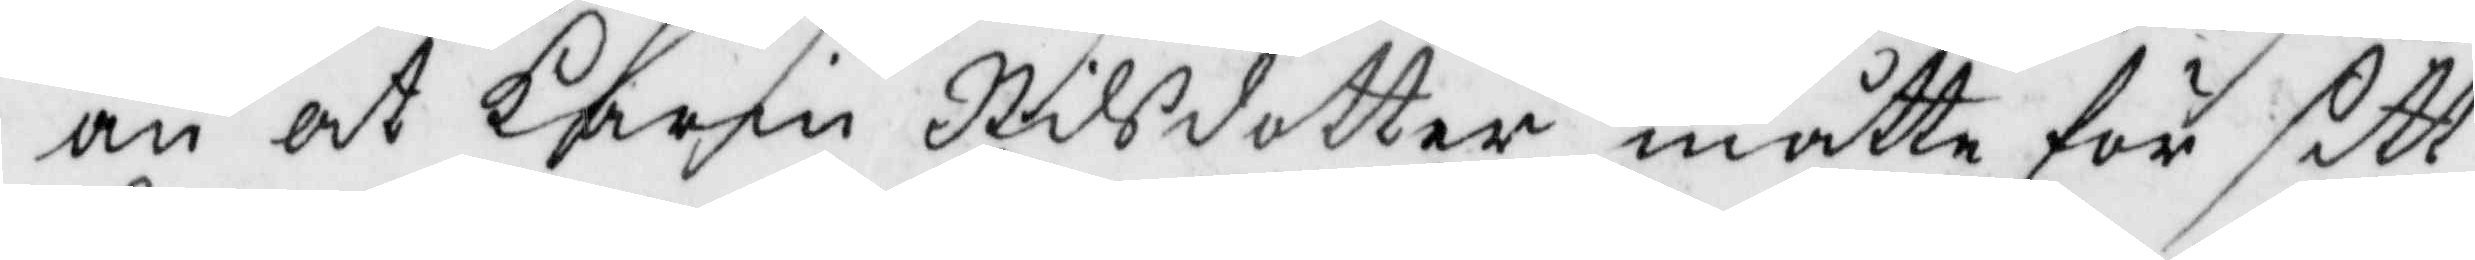än at Karin Nilsdotter måtte för sitt
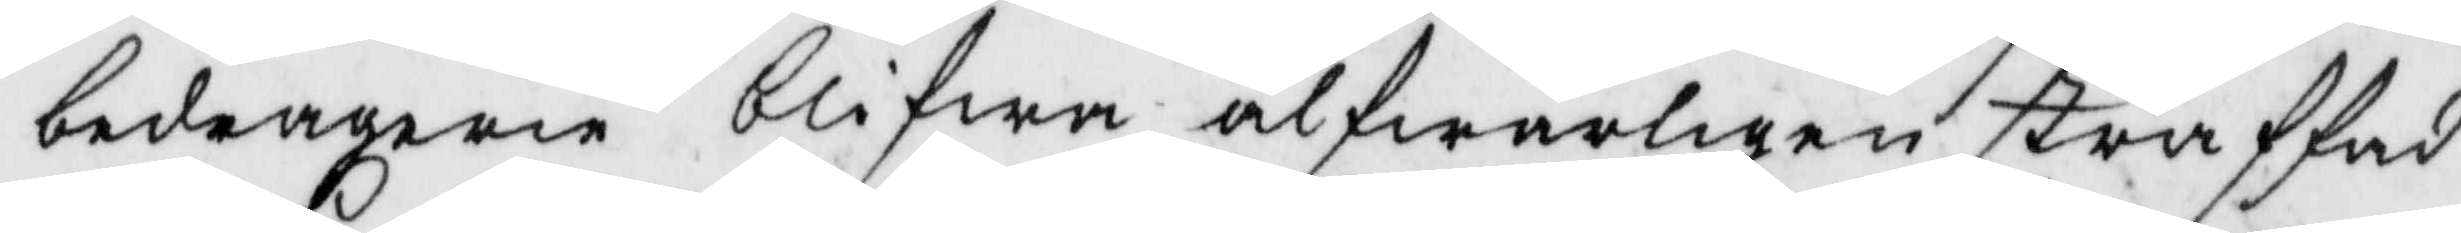bedragerie blifwa alfwarligen straffad
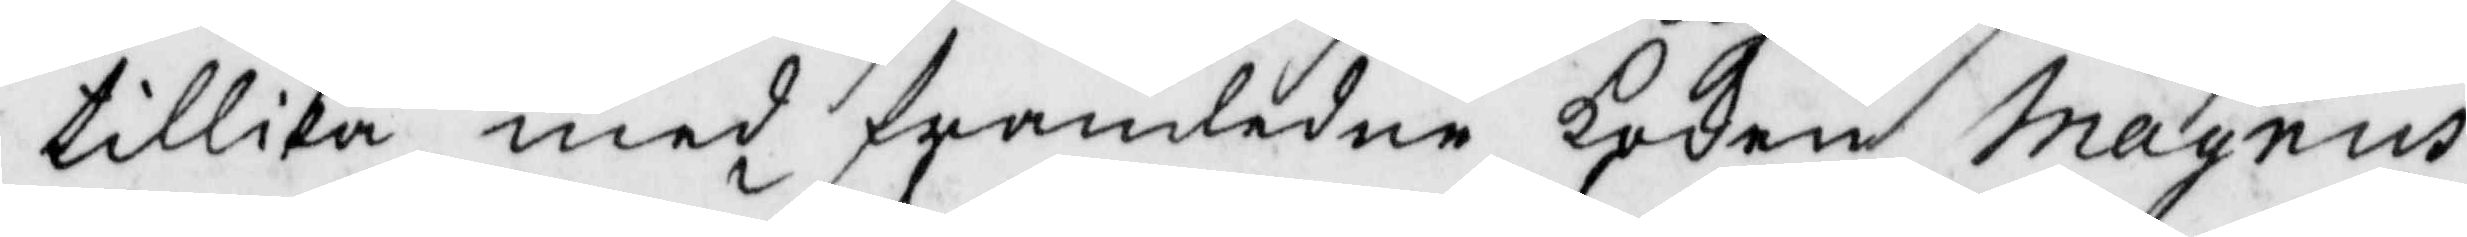tillika med framledne koken Magnus
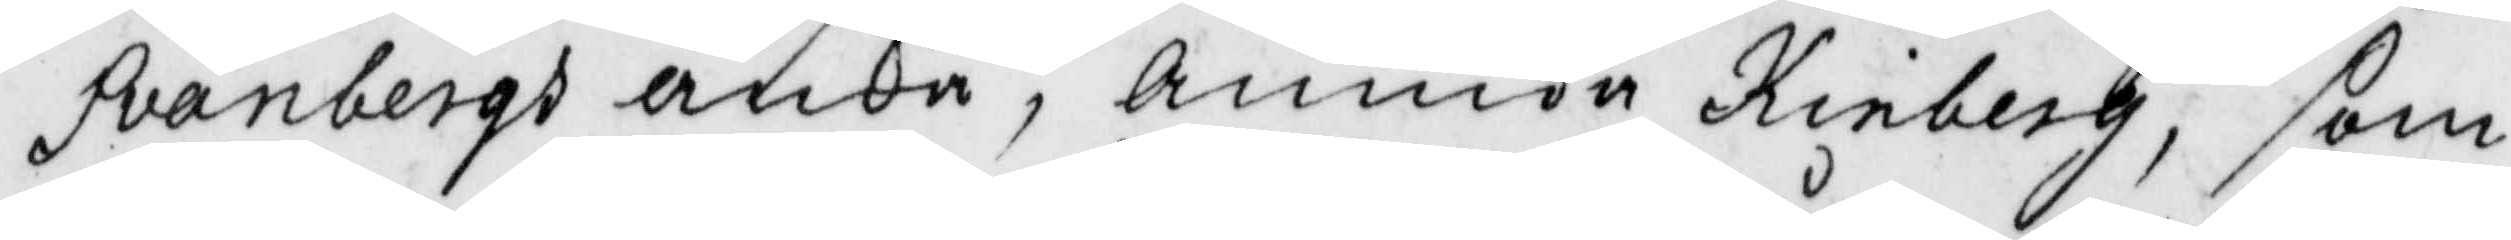Svanbergs änka, Annika Kinberg, som
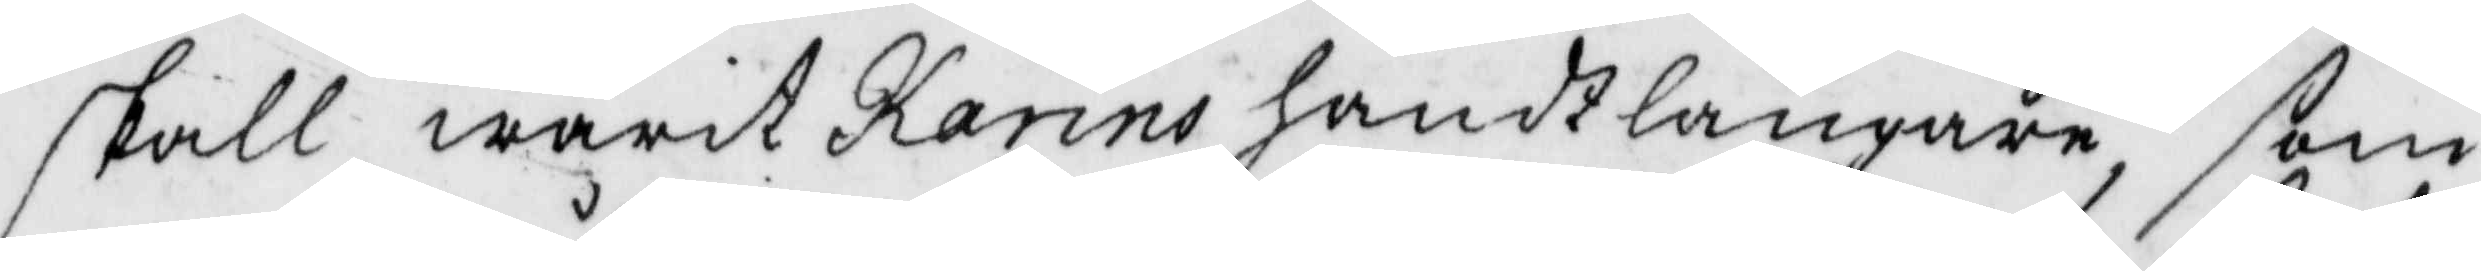skall warit Karins handtlångare, som
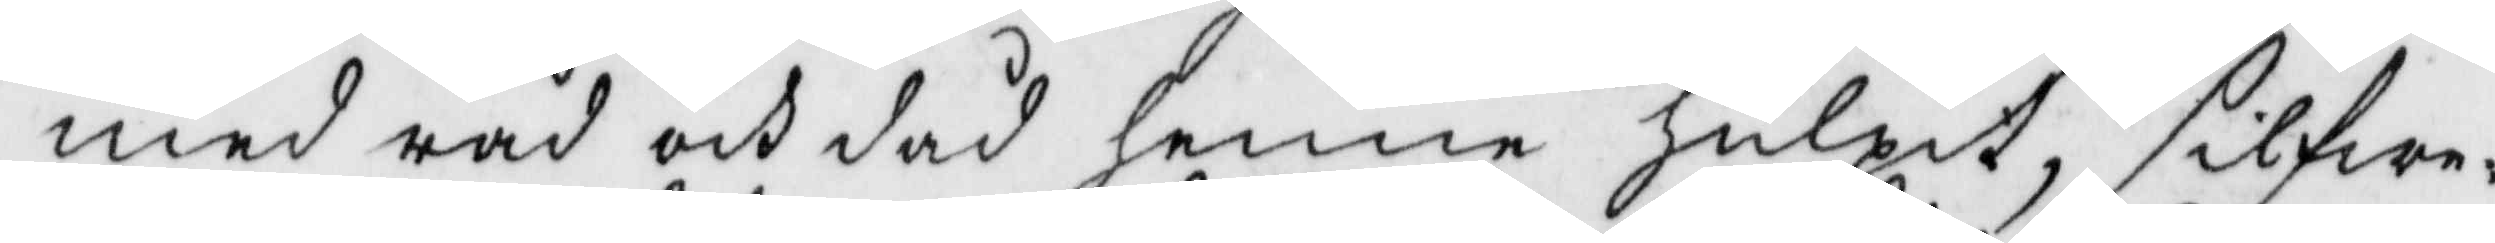med råd och dåd henne hulpit, silfwr¬
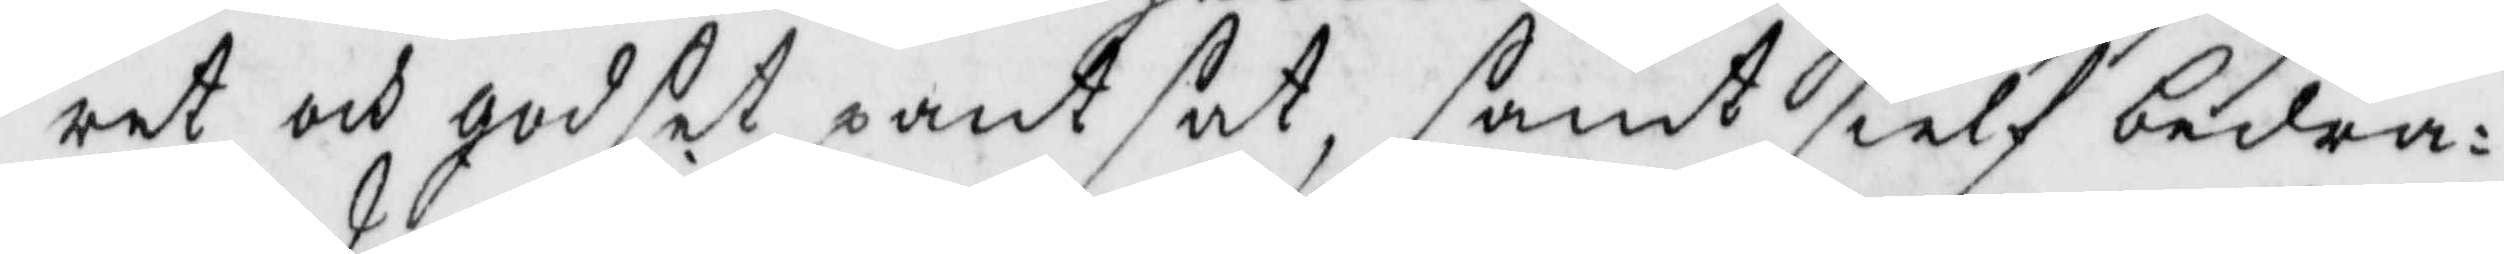ret och godset pantsat, samt sielf bedra¬
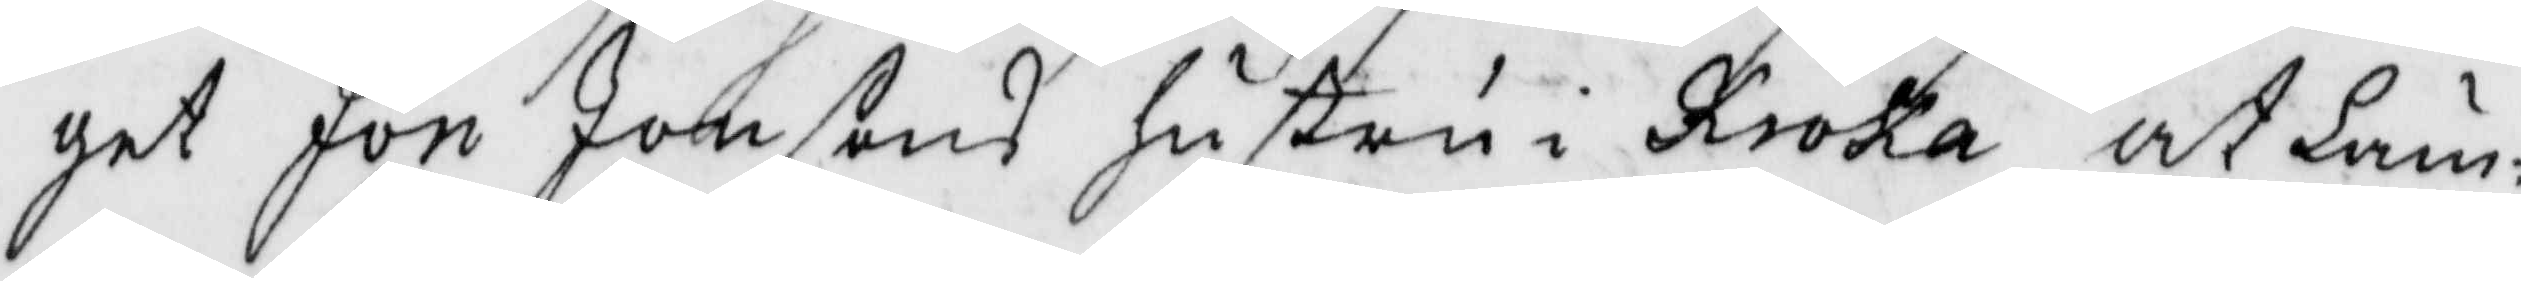get Jon Jonsons hustru i Kroka at läm¬
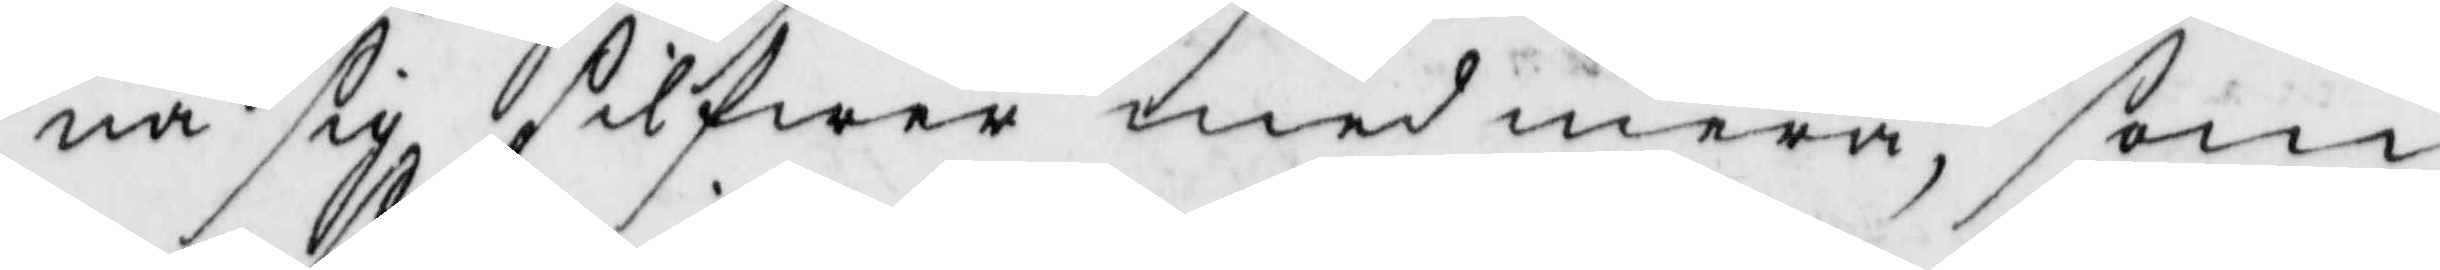na sig silfwer med mera, som
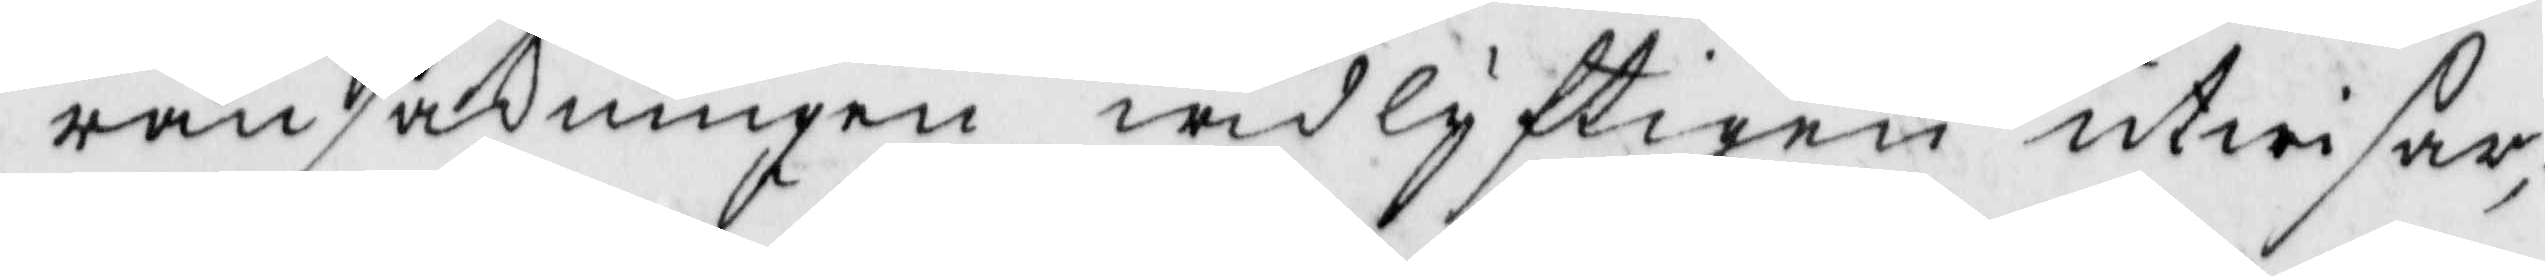ransakningen widlyfrigen utwisar;
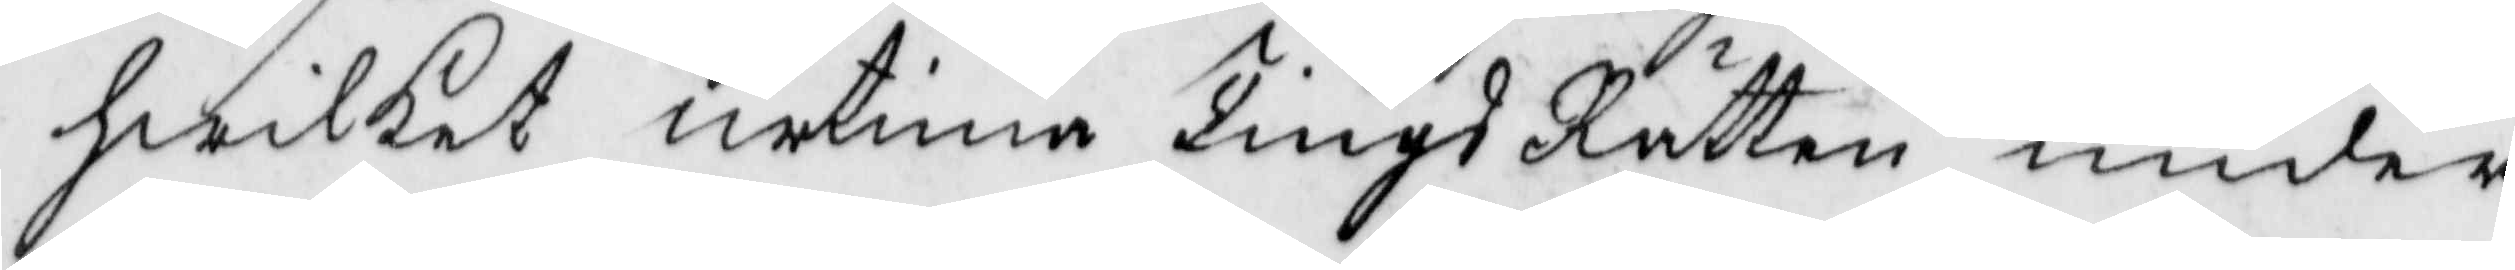hwilket urtima TingsRätten under 
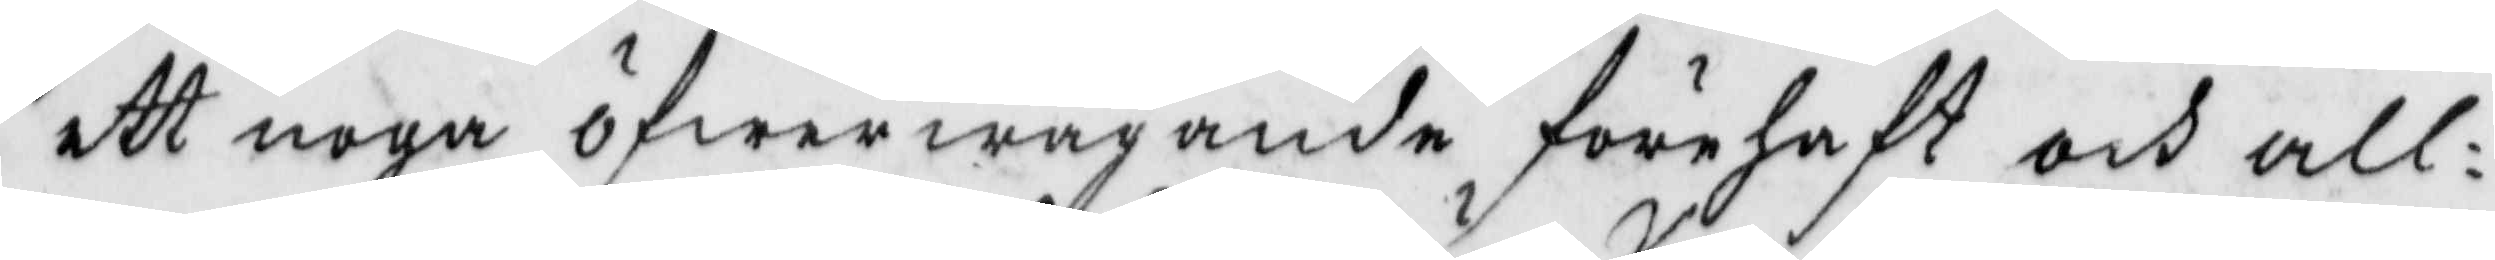ett noga öfwerwägande förehaft och all¬
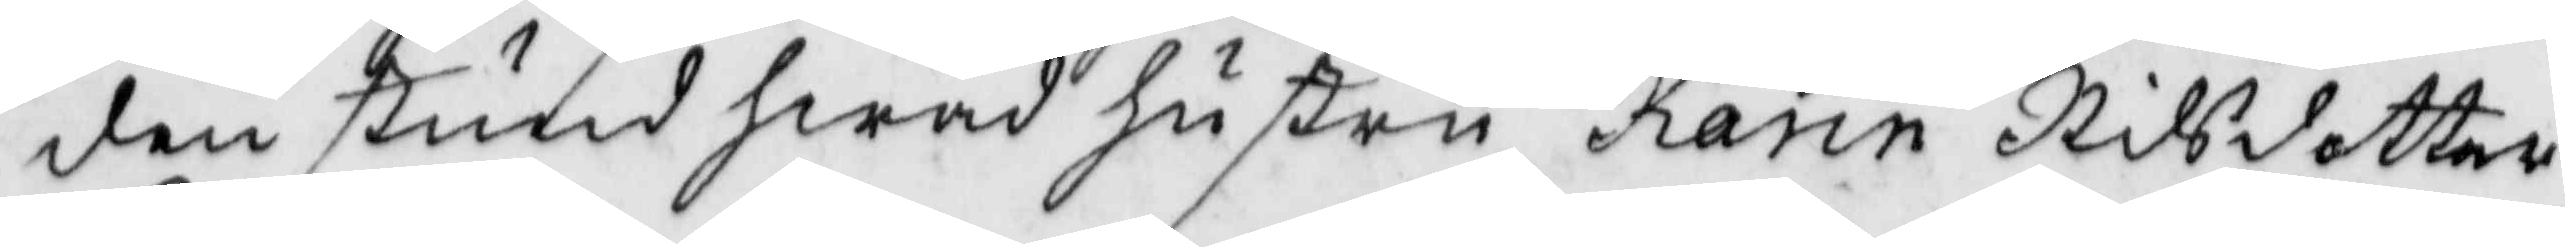den stund hwad hustru Karin Nilsdotter
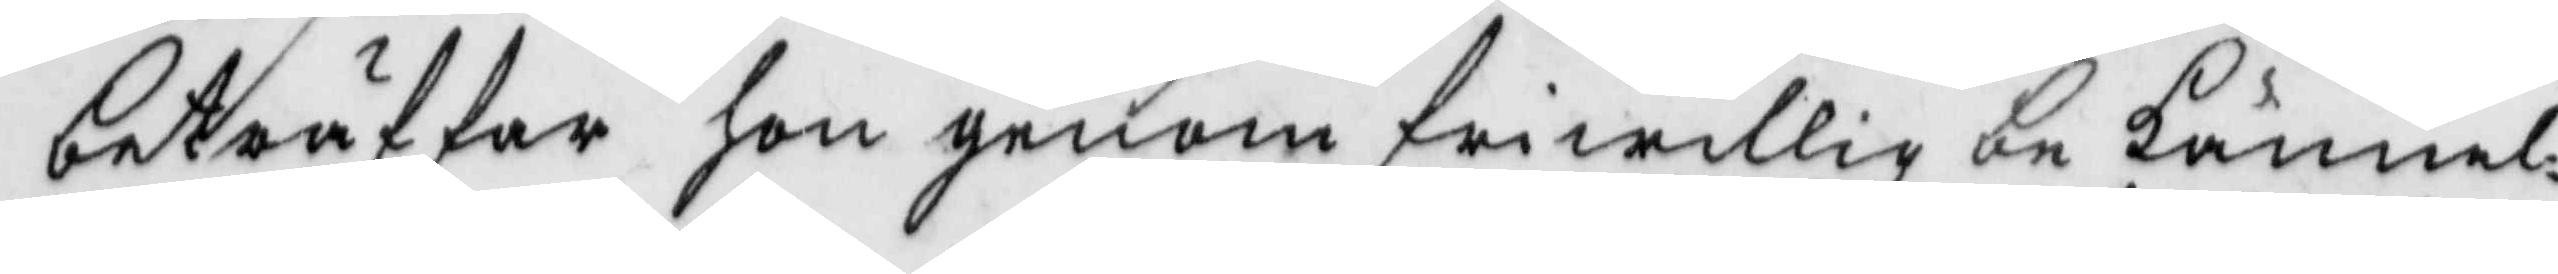beträffar hon genom friwillig bekännel¬
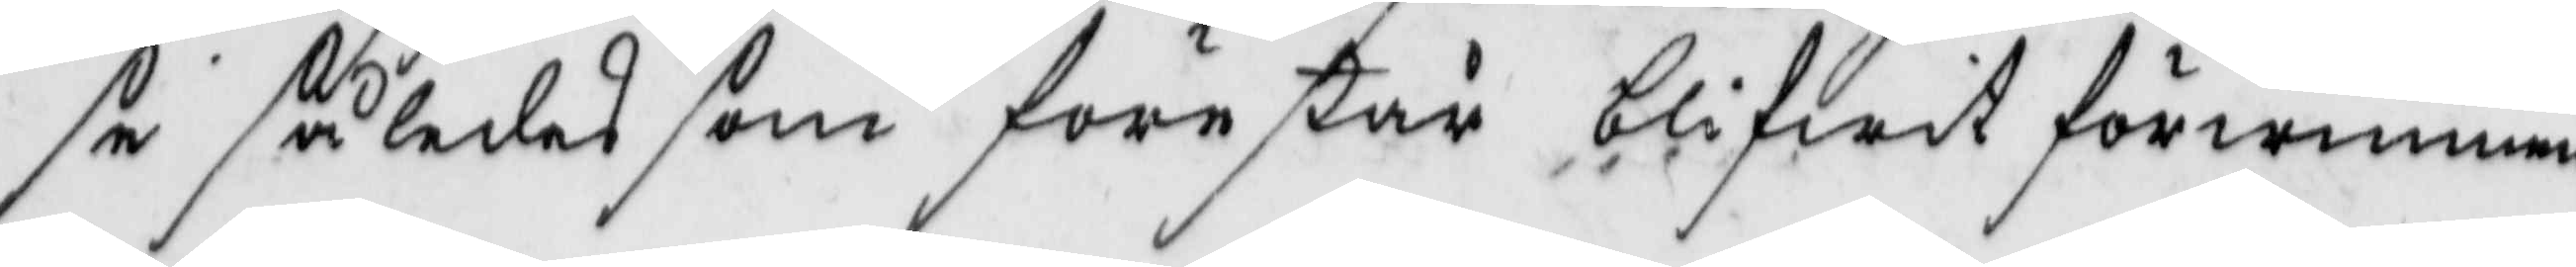se således som förestår blifwit förwunnen
